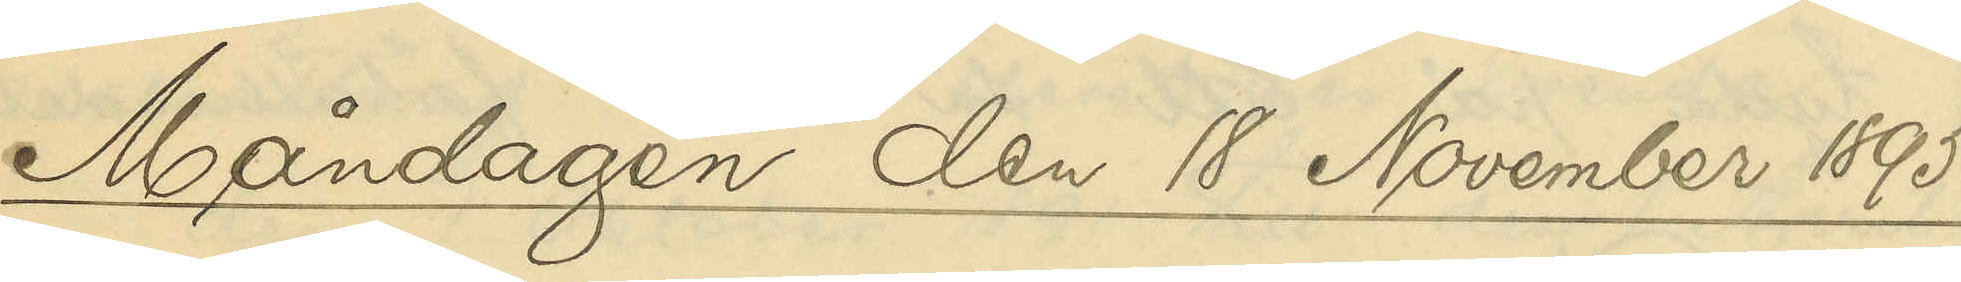Måndagen den 18 November 1895.
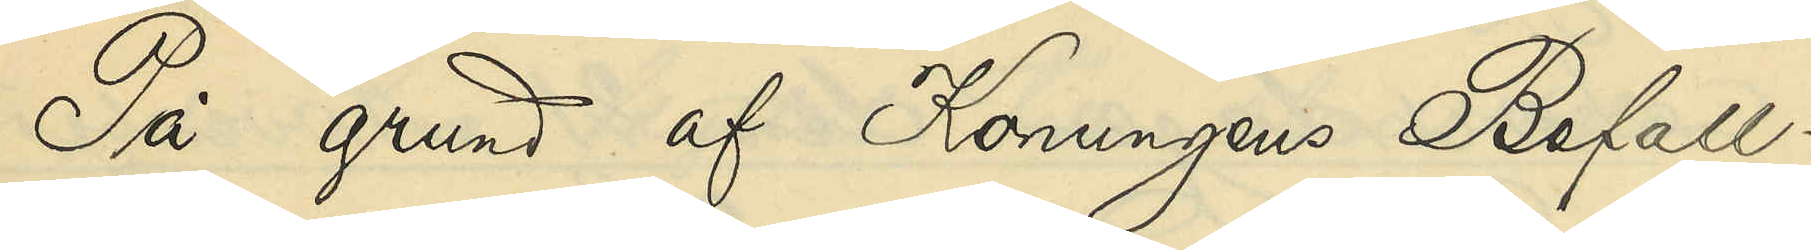På grund af Konungens Befall¬
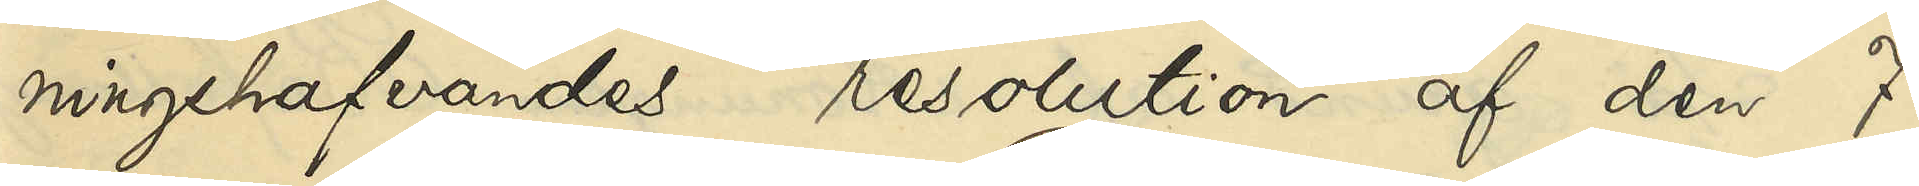ningshafvandes resolution af den 7
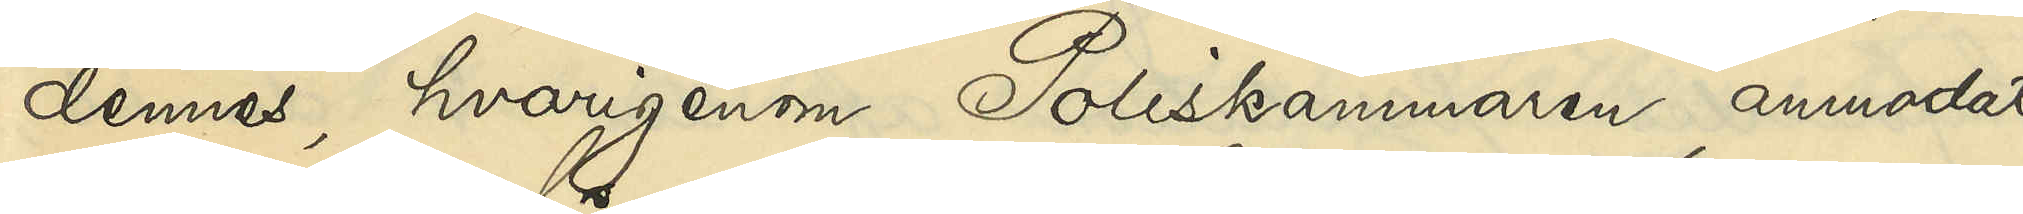dennes, hvarigenom Poliskammaren anmodats
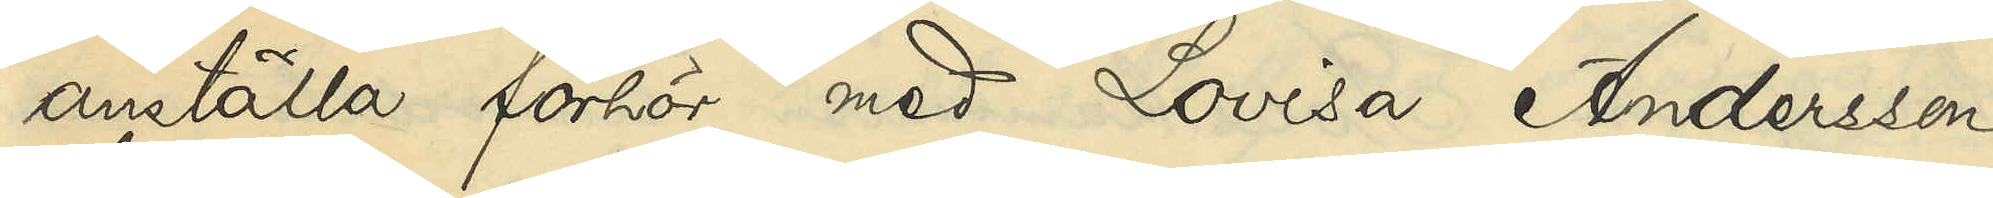anställa förhör med Lovisa Andersson
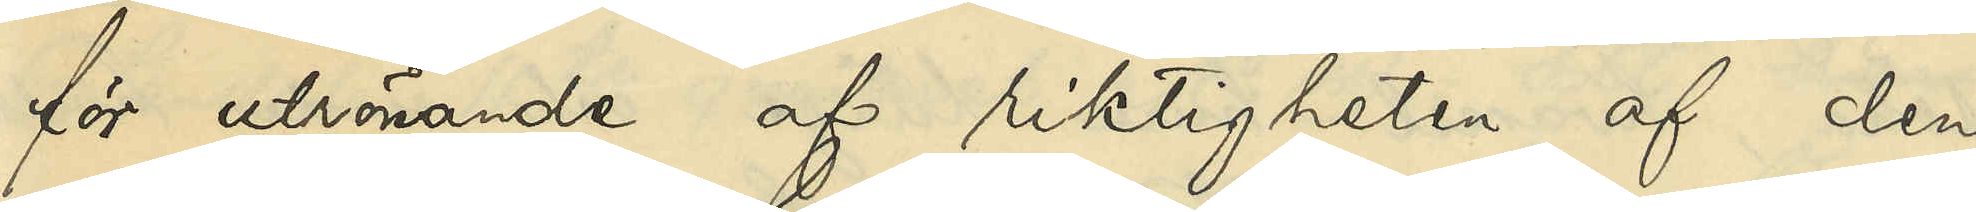för utrönande af riktigheten af den
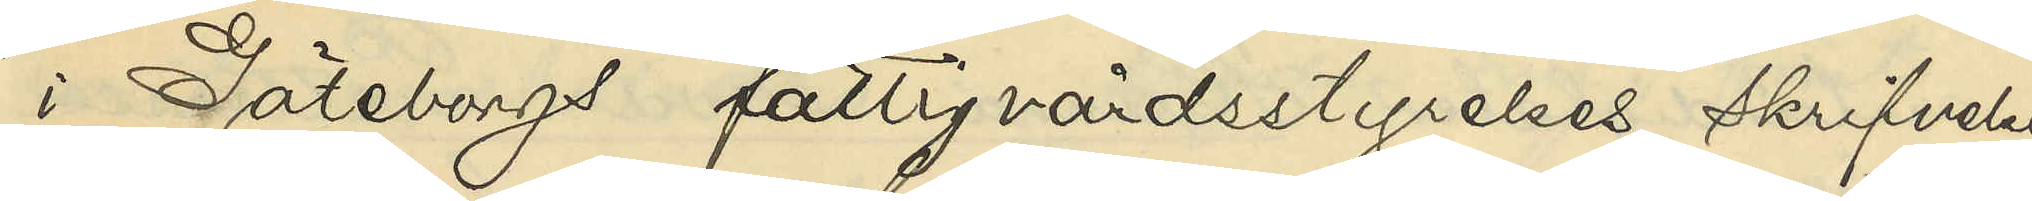i Göteborgs fattigvårdsstyrelses skrifvelse
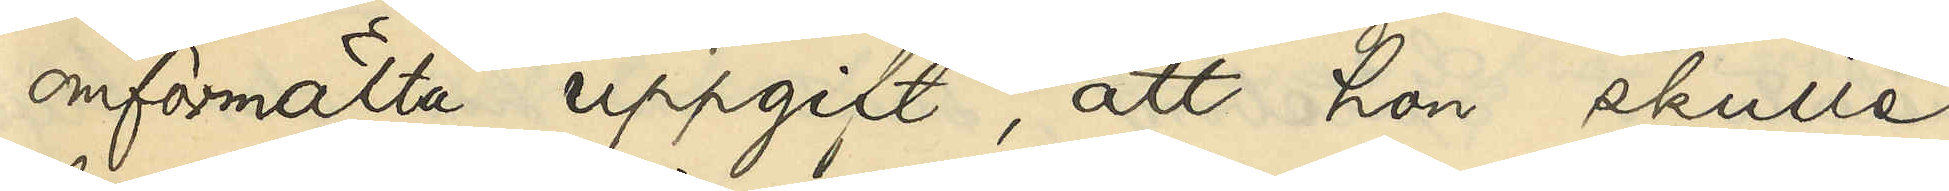omförmälta uppgift, att hon skulle
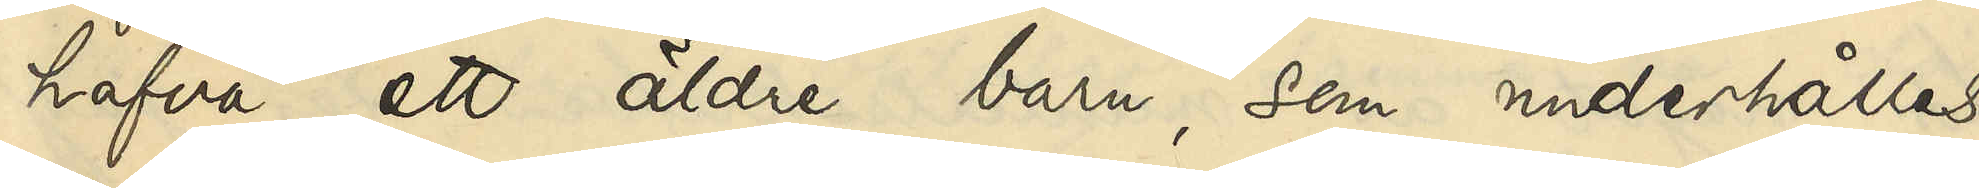hafva ett äldre barn, som underhålles
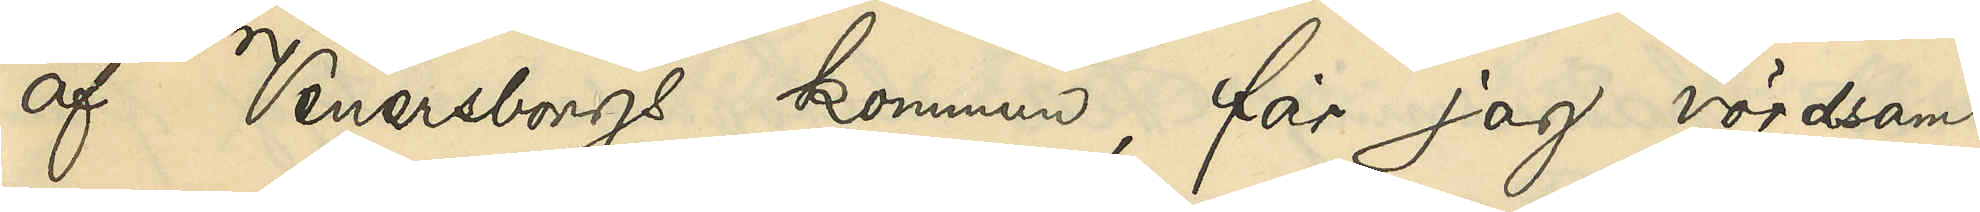af Venersborgs kommun, får jag vördsamt
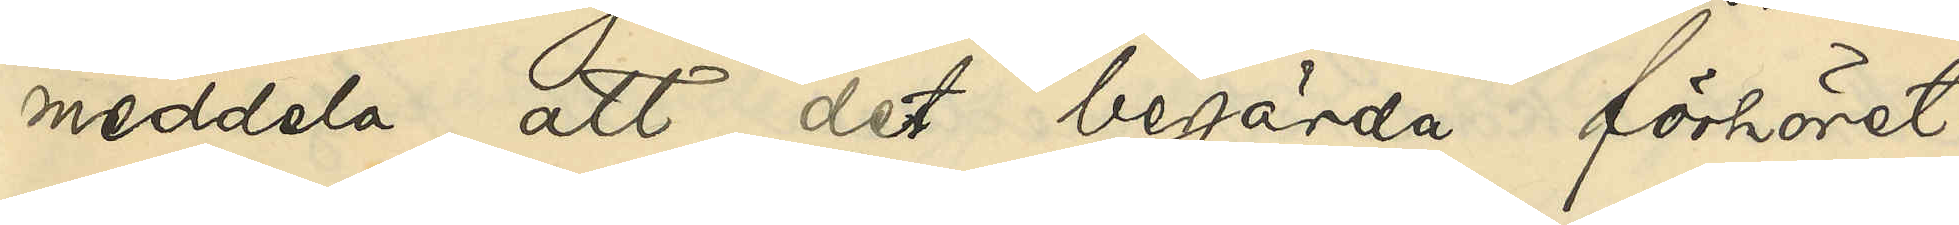meddela, att det begärda förhöret
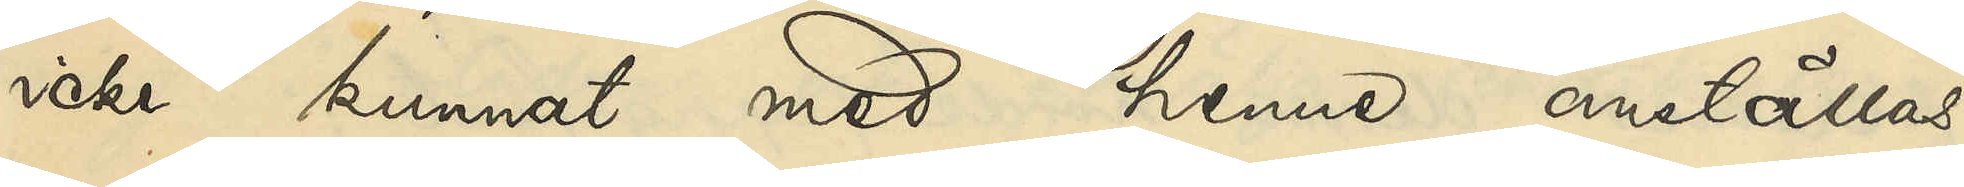icke kunnat med henne anställas,
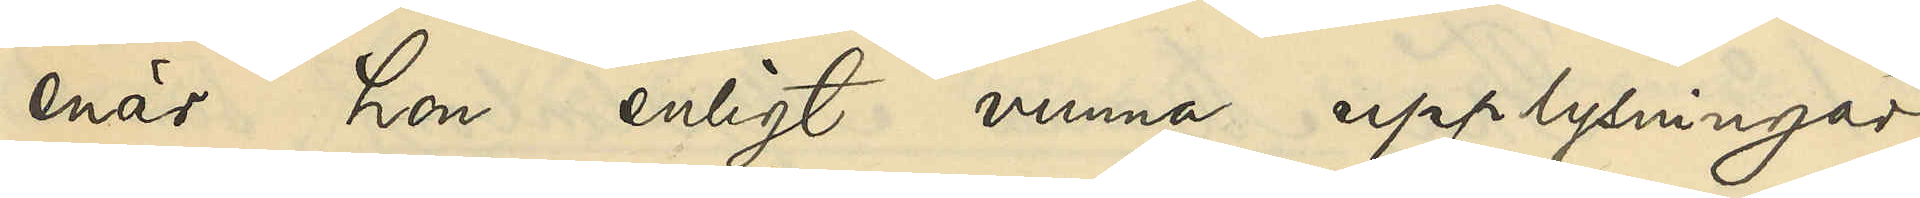enär hon enligt vunna upplysningar
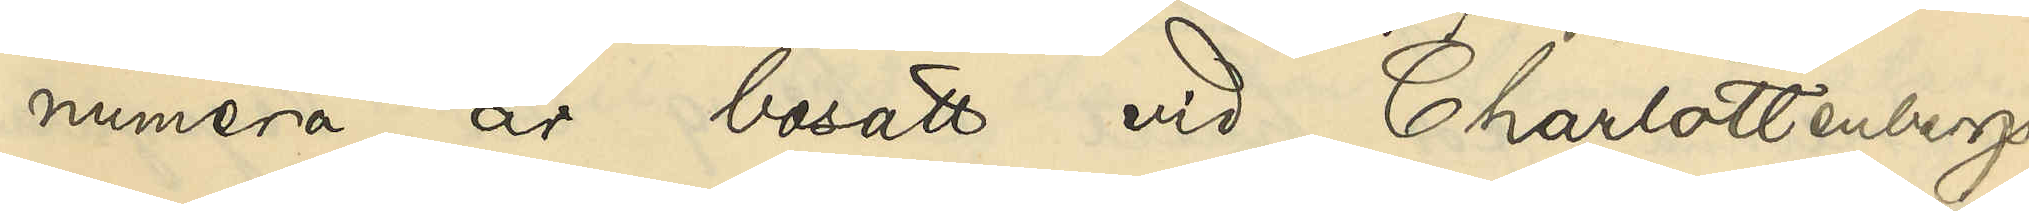numera är bosatt vid Charlottenbergs
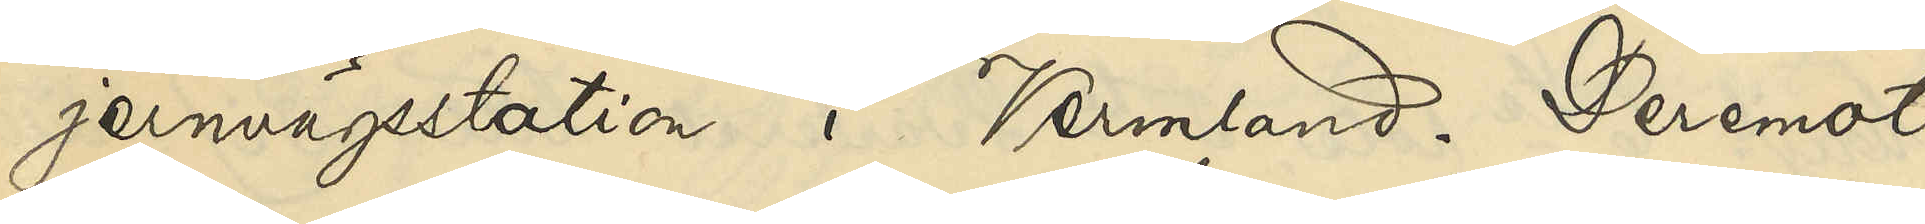jernvägsstation i Vermland. Deremot
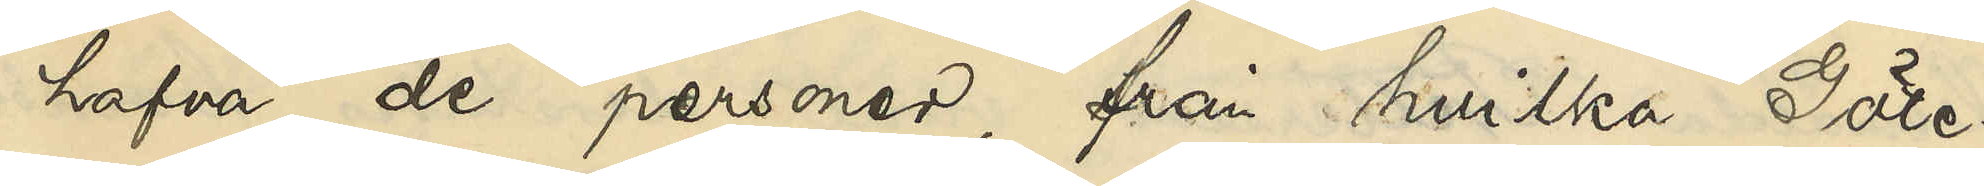hafva de personer, från hvilka Göte¬
